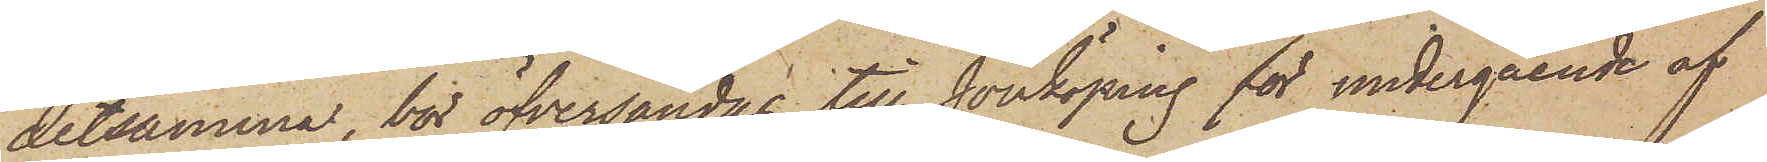detsamma, bör öfversändas till Jönköping för undergående af
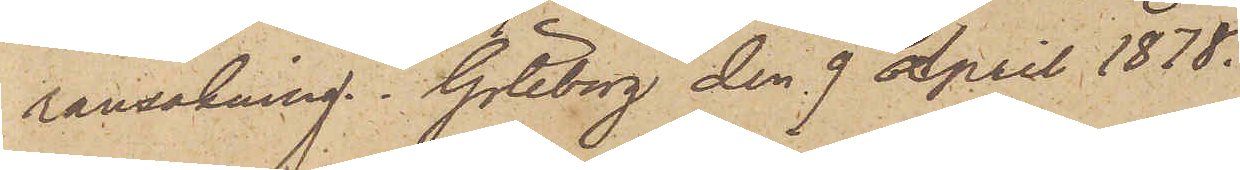ransakning. Göteborg den 9 April 1878.
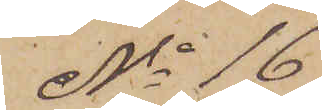No 16
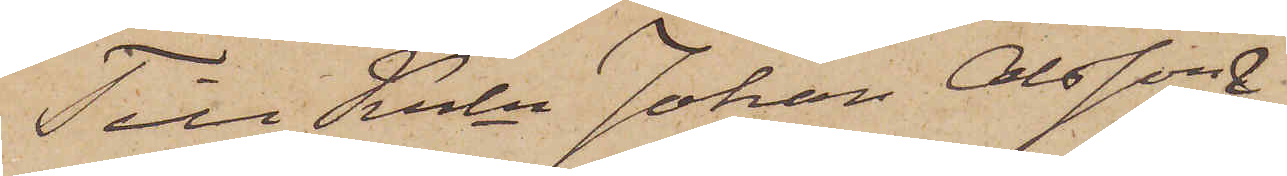Till Krln Johan Olsson
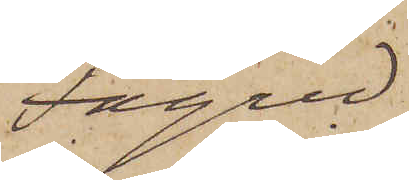Fägred
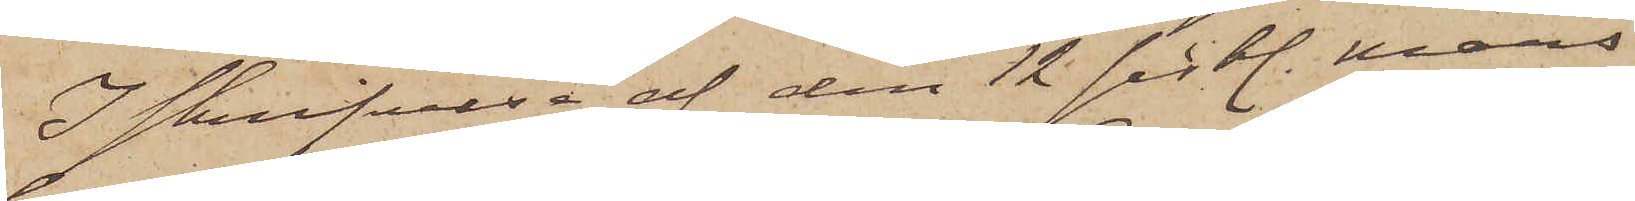I skrifvelse af den 12 sistl. Mars
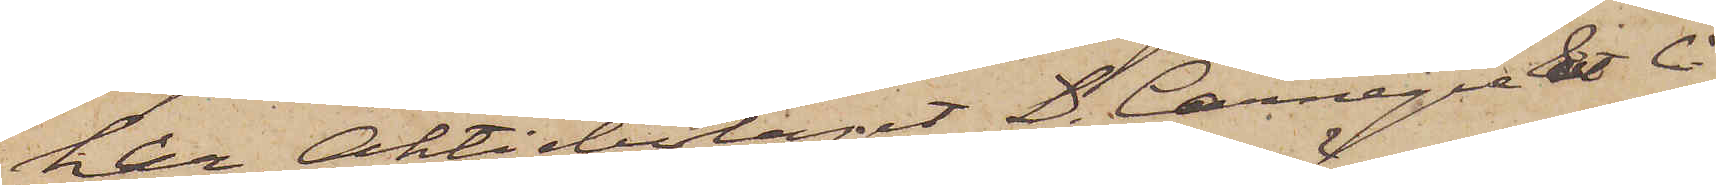har Aktiebolaget D. Carnegie & Ci
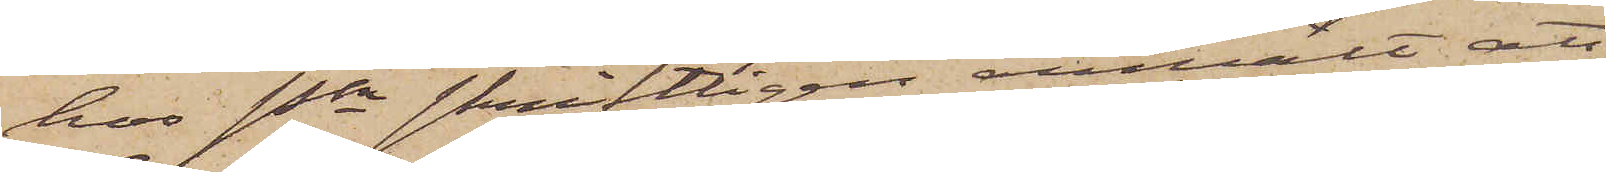hos Pkn skriftligen anmält att
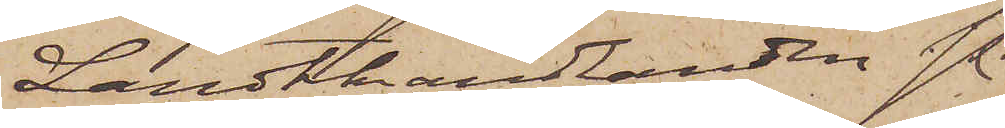Landthandlanden P¬
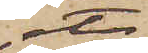eter
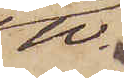W¬
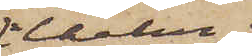ilhelm
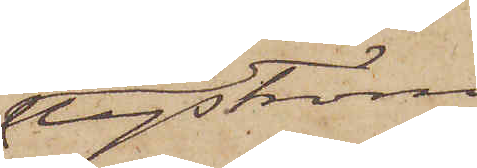Nyström,
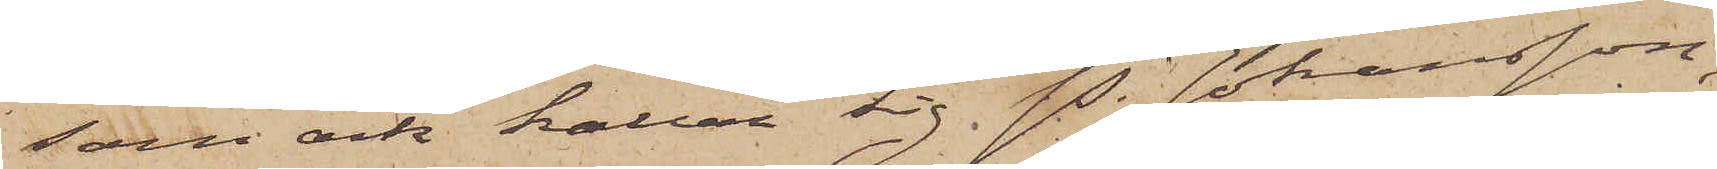som ock kallar sig P. Johansson,
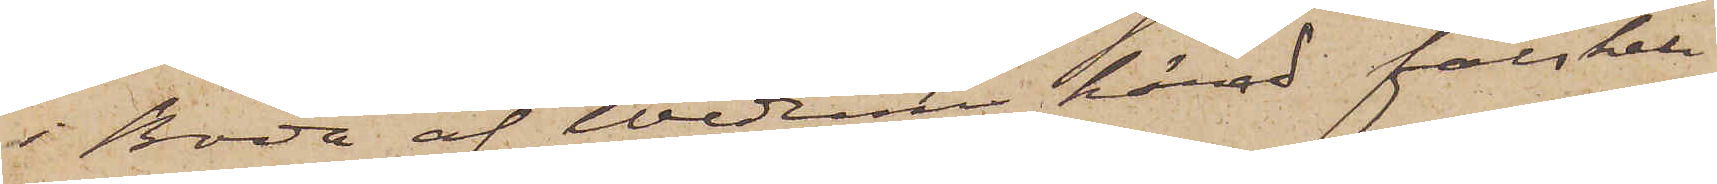i Boda af Wedens härad falskeli¬
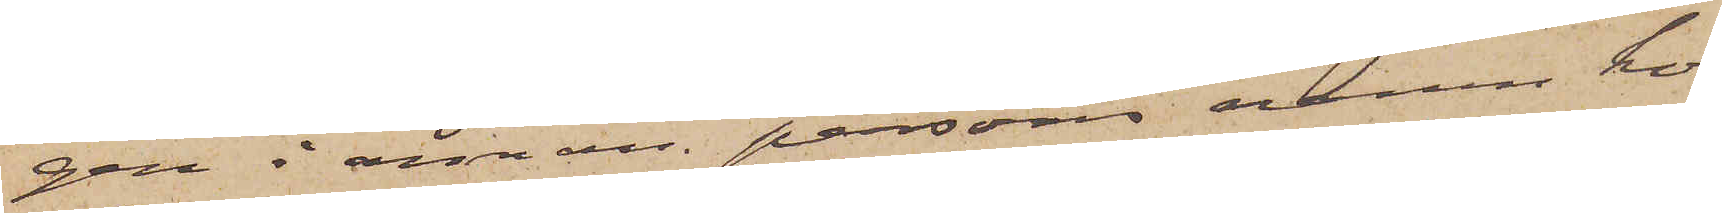gen i annan persons namn hos
